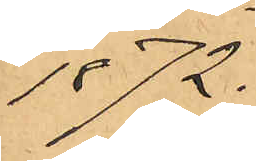1872.
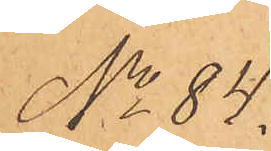No 84.
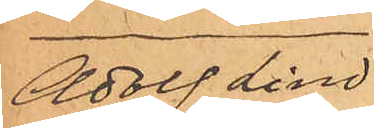Adolf Lind¬
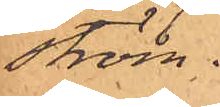ström.
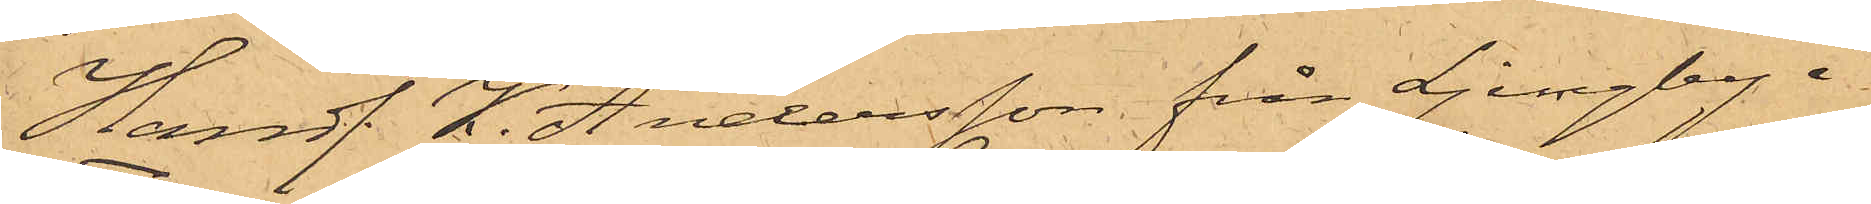Handl. K. Andersson från Ljungby i
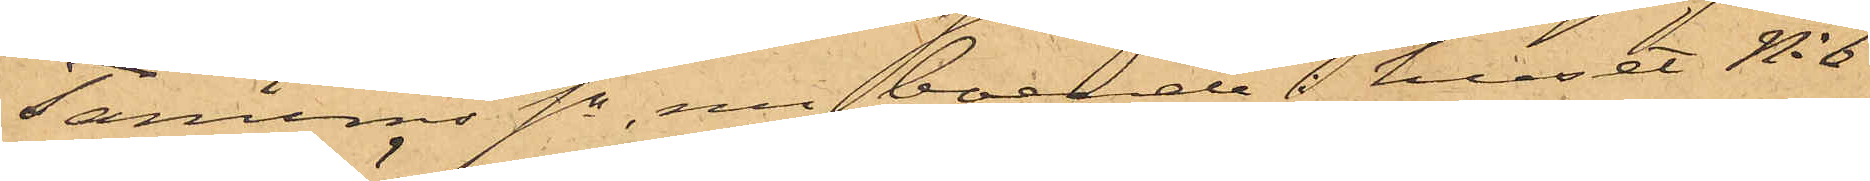Tanums Sn, nu boende i huset No 6
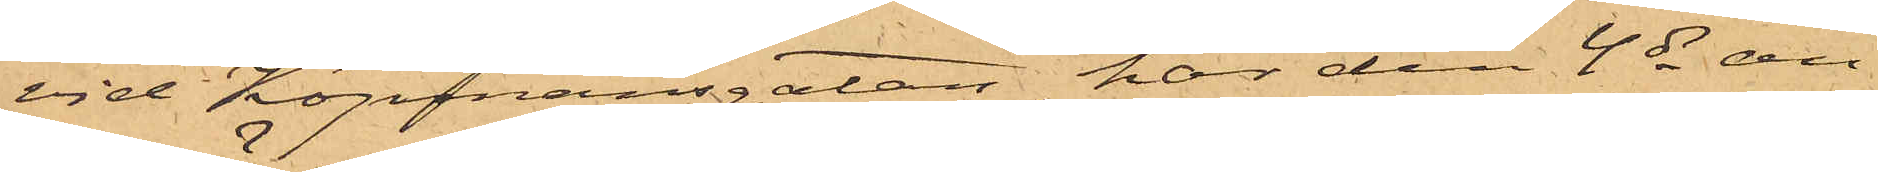vid Köpmansgatan, har den 4 ds an¬
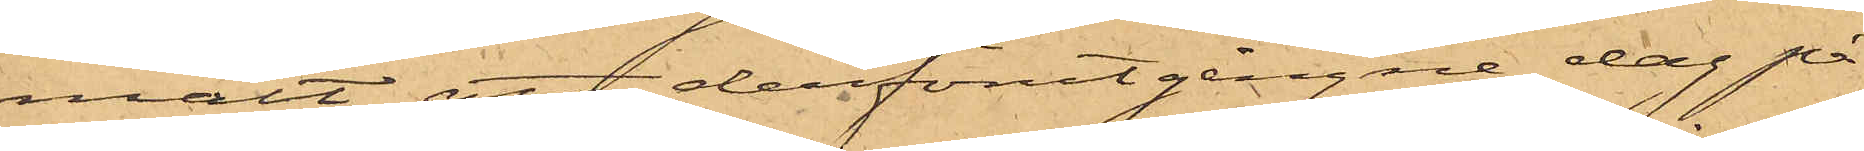mält, att derförutgångne dag på
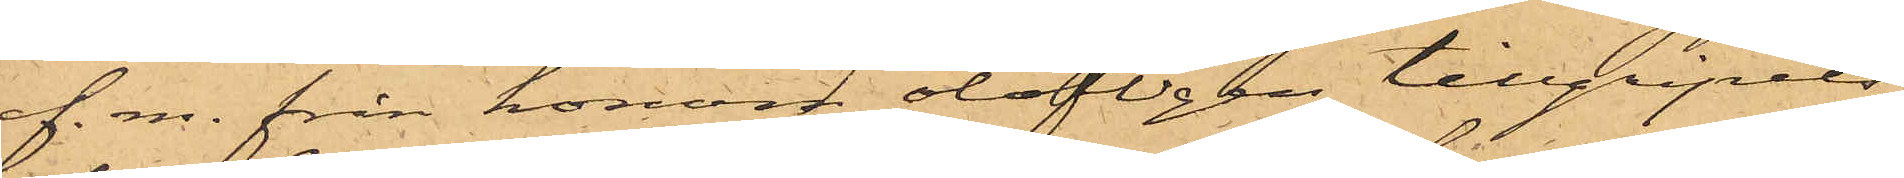f. m. från honom olofligen tillgripits
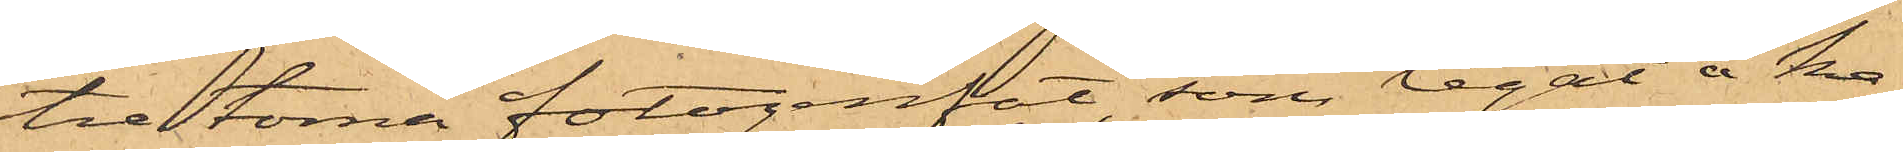tre tomma fotogenfat, som legat å ka¬
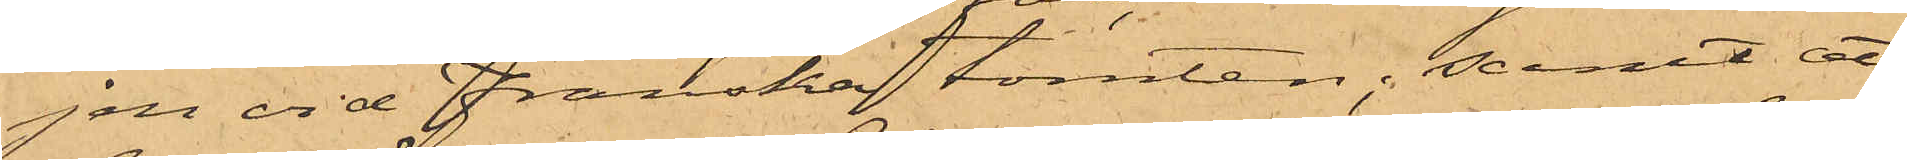jen vid Franska tomten; samt att
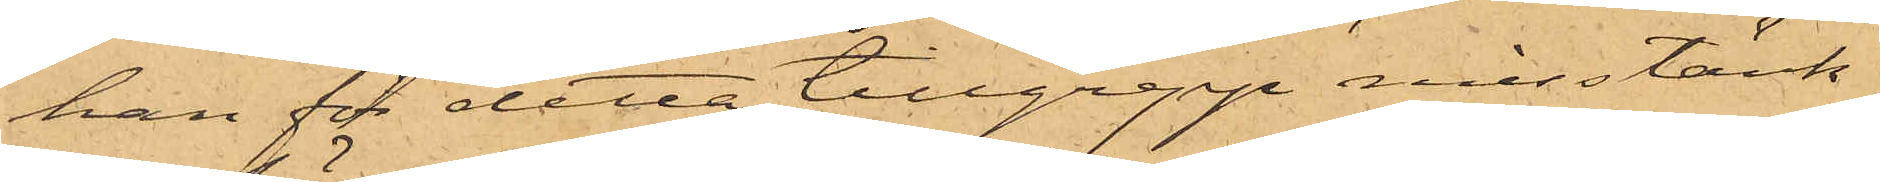han för detta tillgrepp misstänk¬
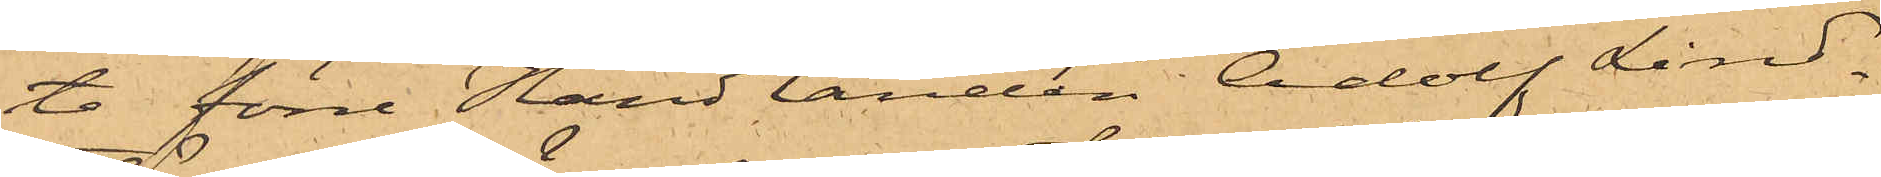te förre Handlanden Adolf Lind¬
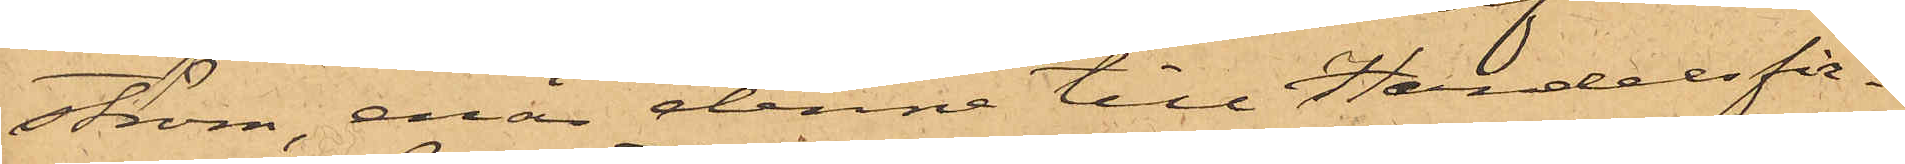ström, enär denne till Handelsfir¬
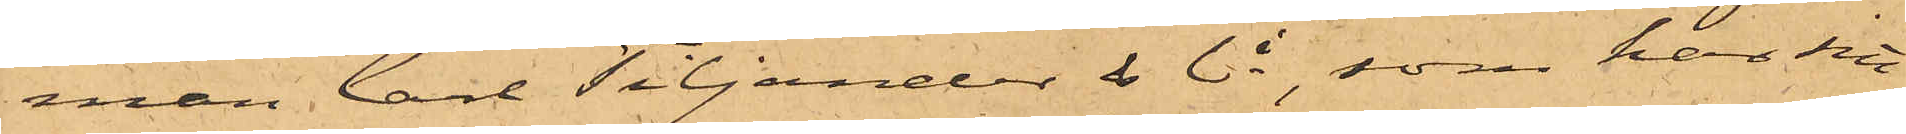man Carl Tiljander & Ci, som har sitt
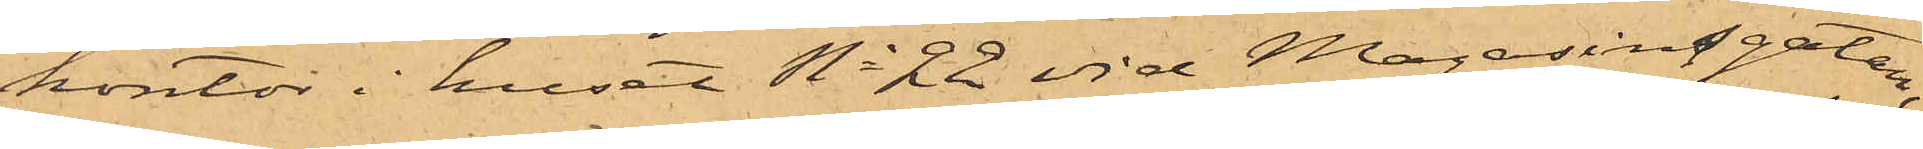kontor i huset No 22 vid Magasinsgatan,
